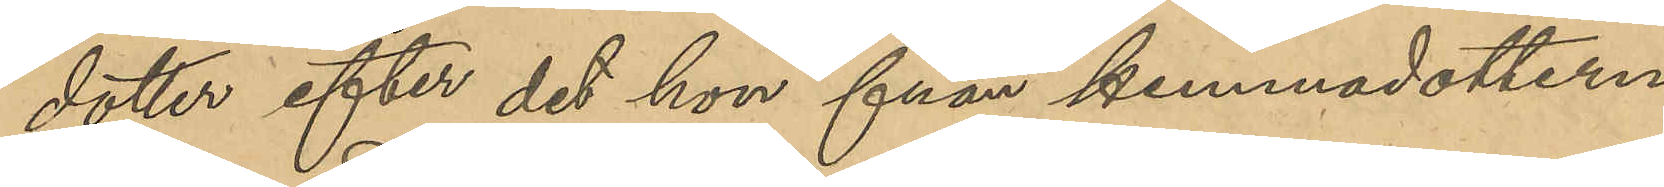dotter efter det hon från hemmadottern
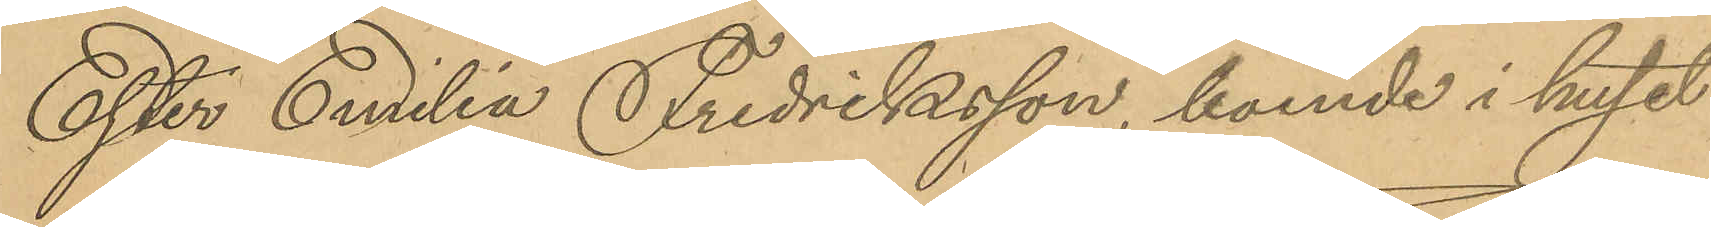Ester Emilia Fredriksson, boende i huset
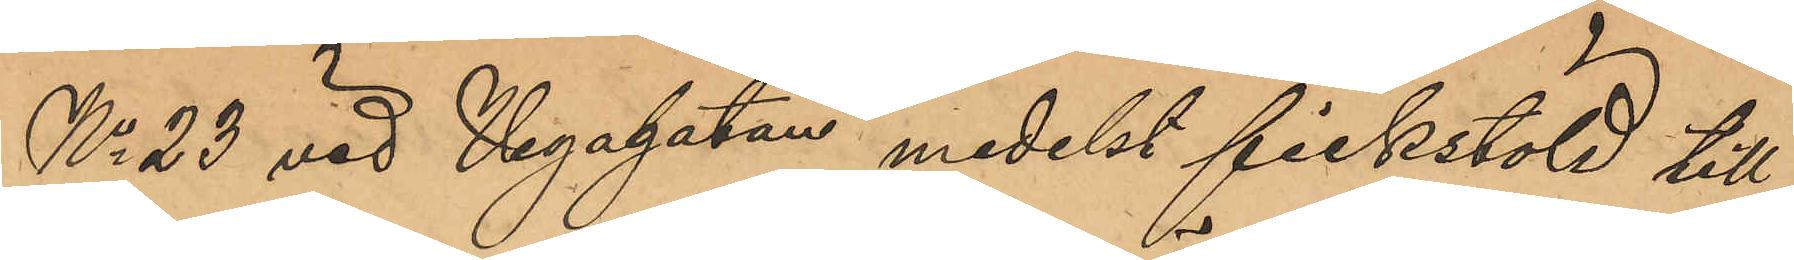No 23 vid Vegagatan medelst fickstöld till¬
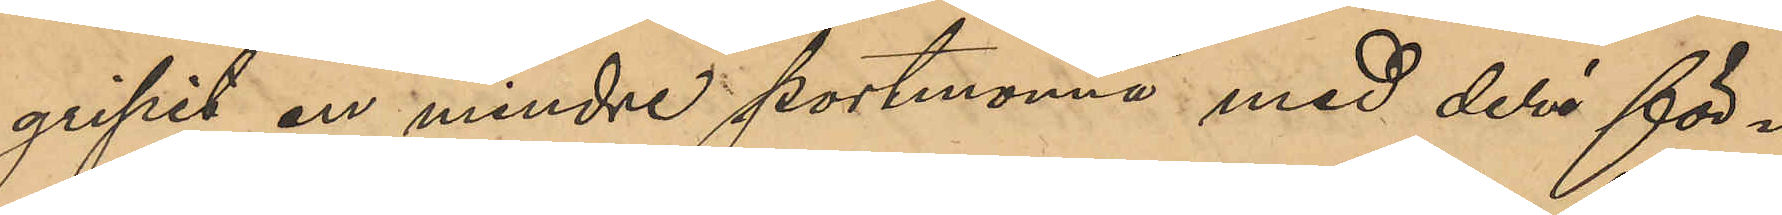gripit en mindre portmonnä med deri för¬
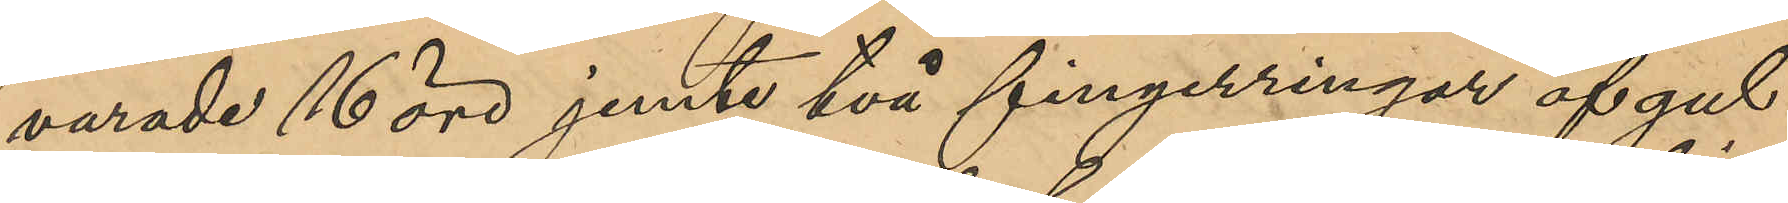varade 16 öre jemte två fingerringar af gul
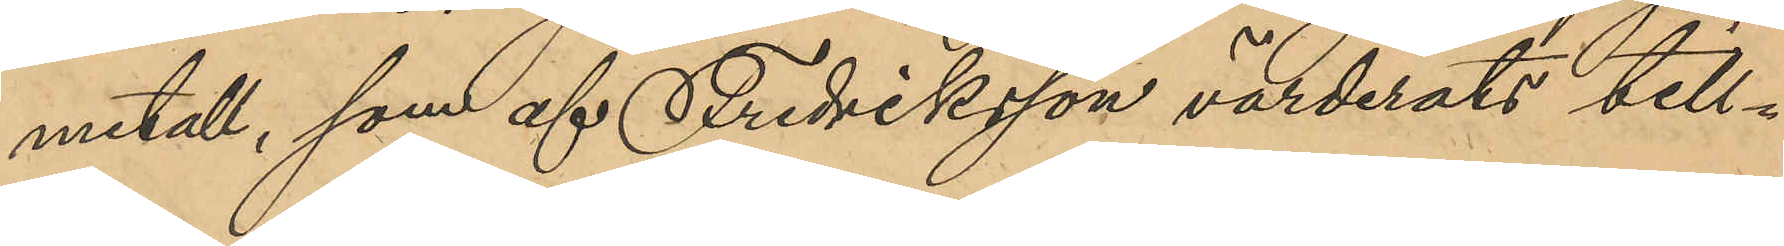metall, samt af Fredriksson värderats till¬
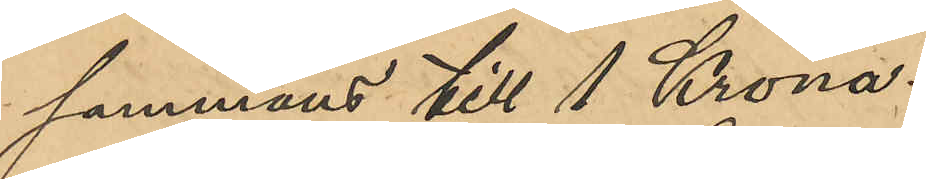sammans till 1 Krona.
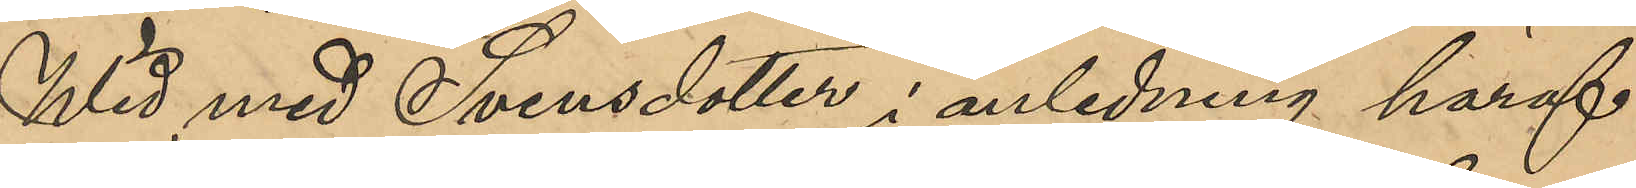Wid med Svensdotter i anledning häraf
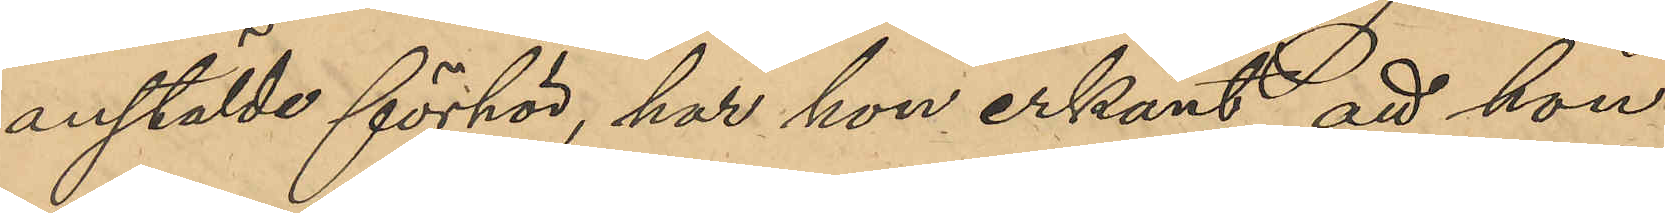anstälda förhör, har hon erkänt, att hon
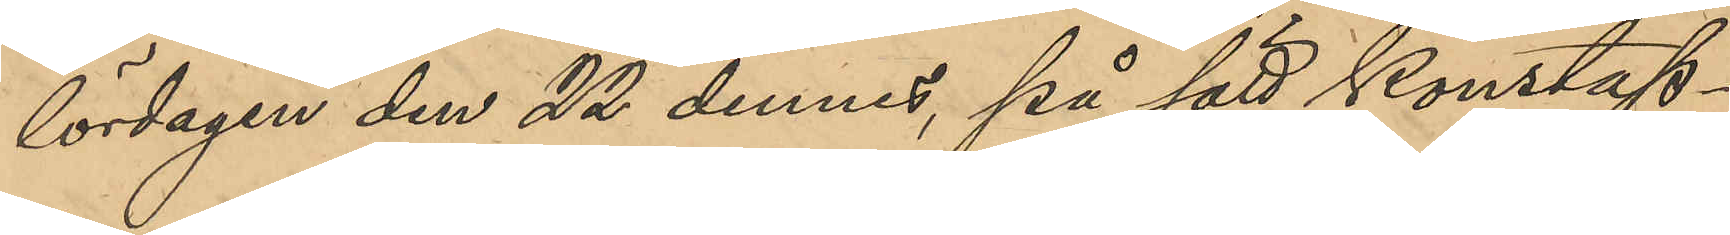lördagen den 22 dennes, på sätt Konstap¬
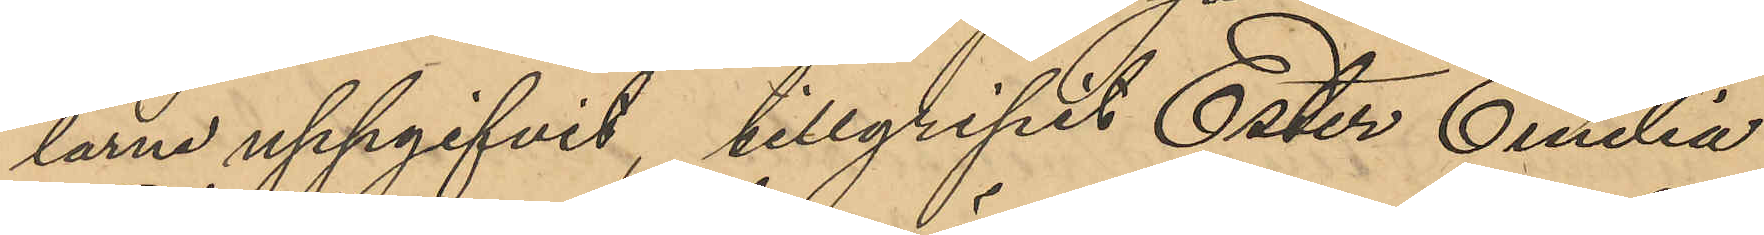larna uppgifvit, tillgripit Ester Emilia
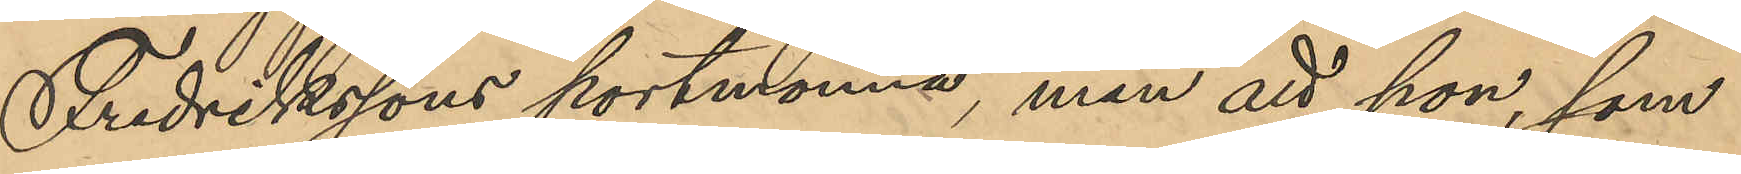Fredrikssons portmonnä, men att hon, som
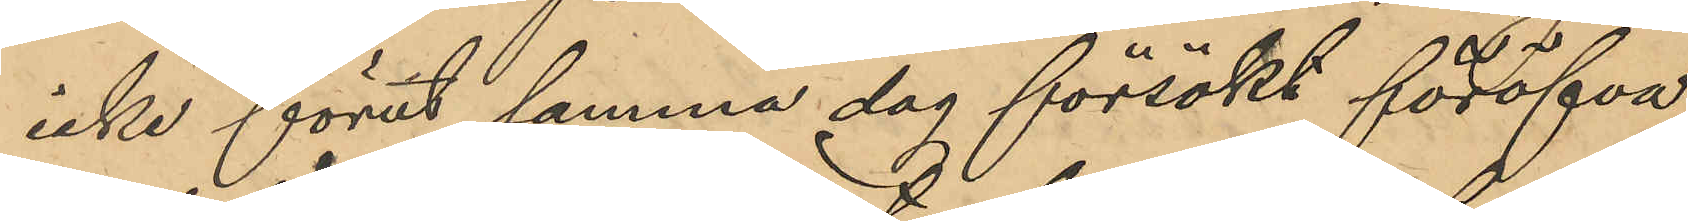icke förut samma dag försökt föröfva
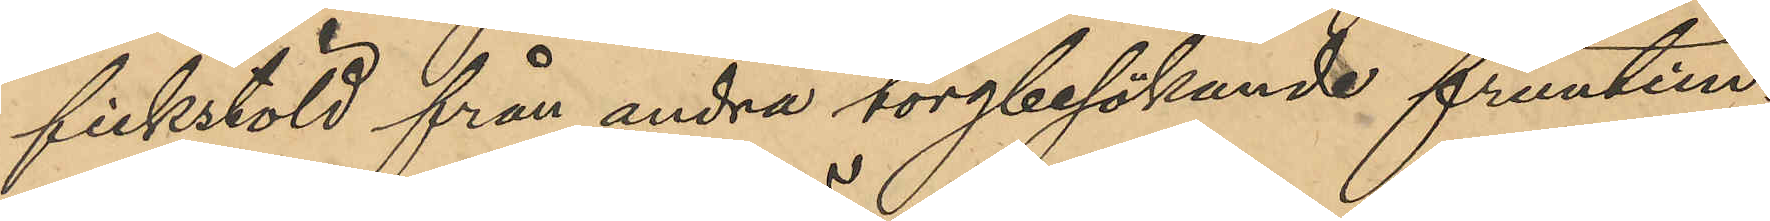fickstöld från andra torgbesökande fruntim¬
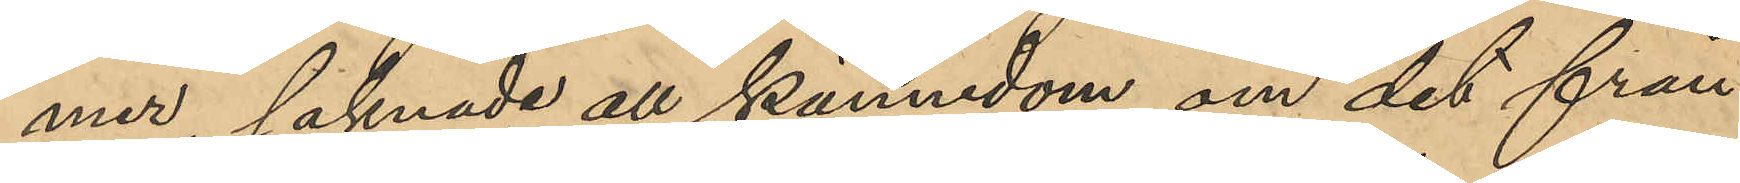mer, saknade all kännedom om det från
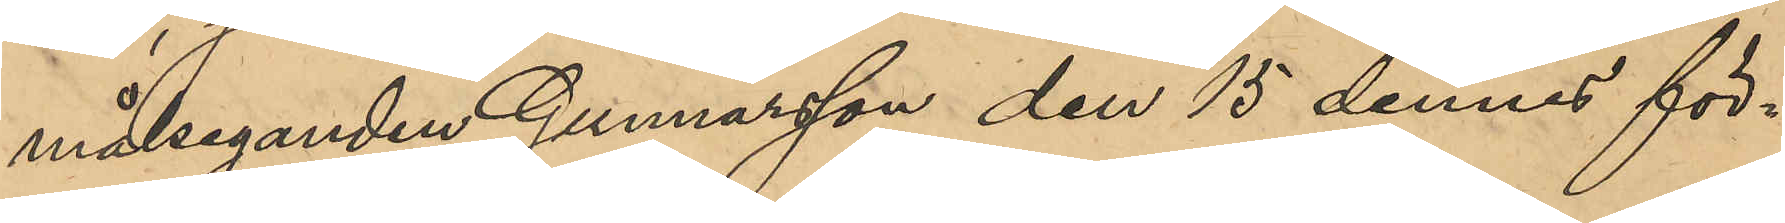målseganden Gunnarsson den 15 dennes för¬
